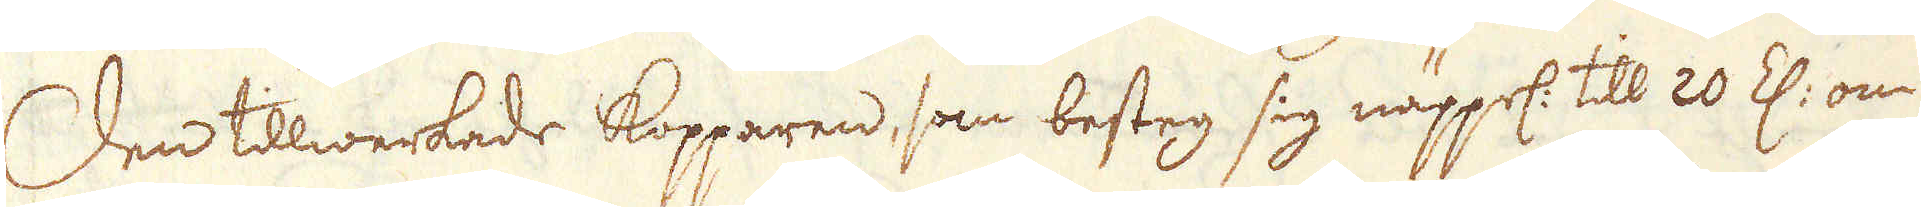Den tillwerkade kopparen, som besteg sig näppel: till 20 Z: om
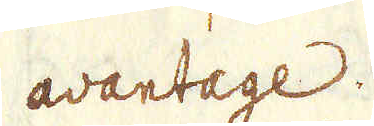avantage.
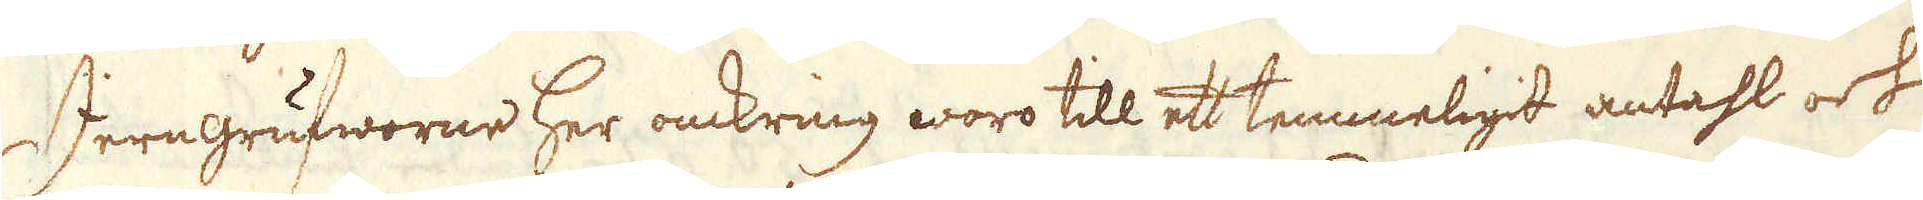Jerngrufworne her omkring woro till ett temmeligit antahl och
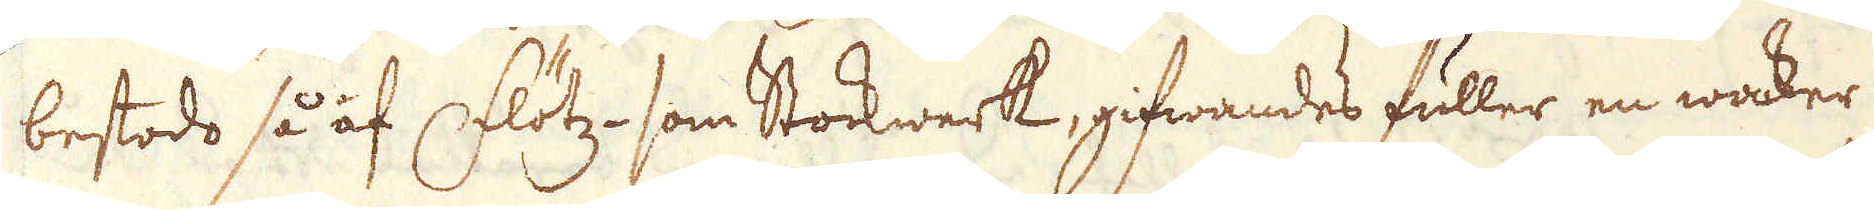bestodo så af Flötz- som Stockwerk, gifwandes fuller en waker
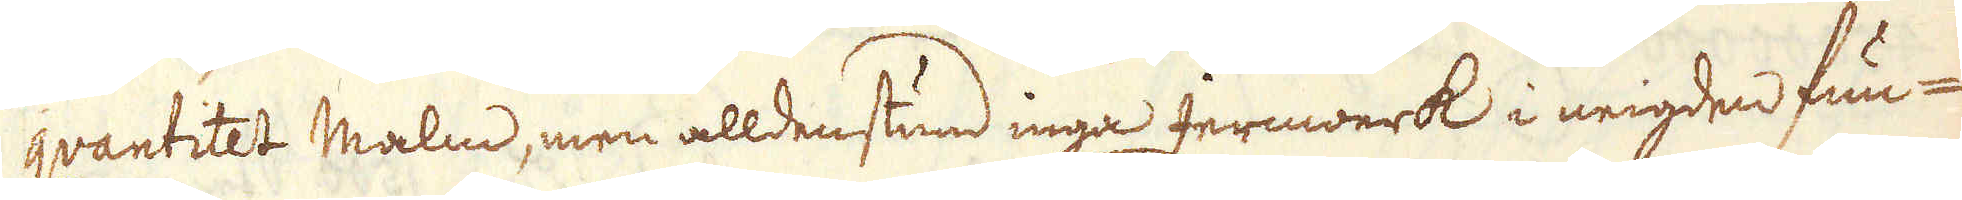qvantitet Malm, men alldenstund inga Jernwerk i neigden fun-
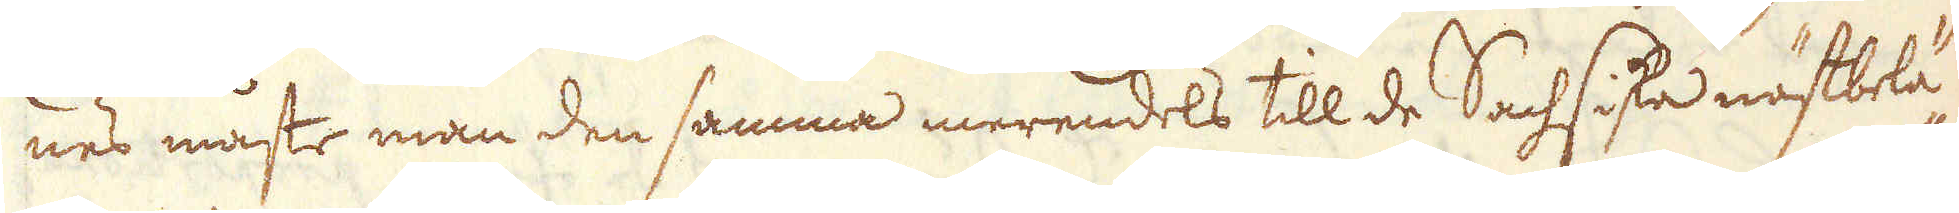nes måste man den samma merendels till de Sachsiska nästbelä-
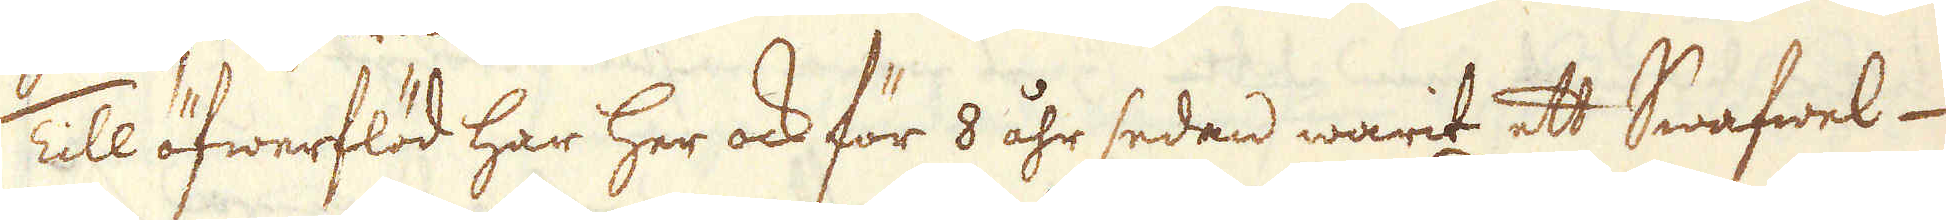Till öfwerflöd har her ock för 8 åhr sedan warit ett Swafwel-
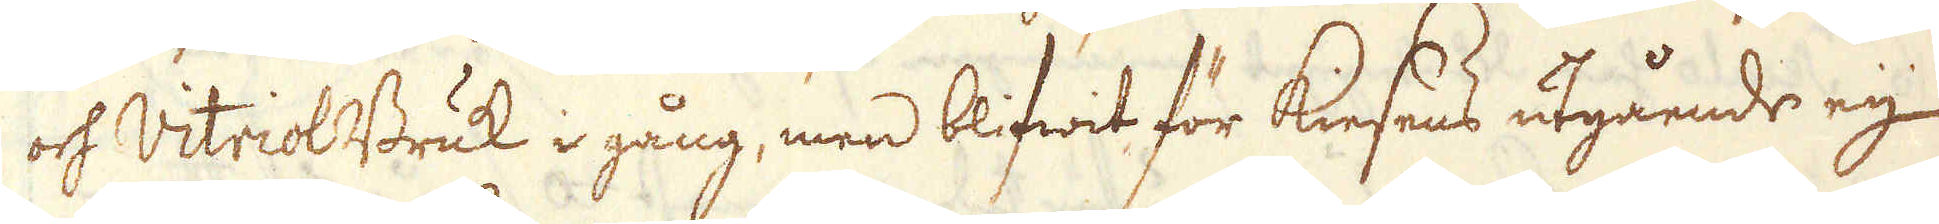och Vitriol Bruk i gång, men blifwit för Kiesens utgående eij
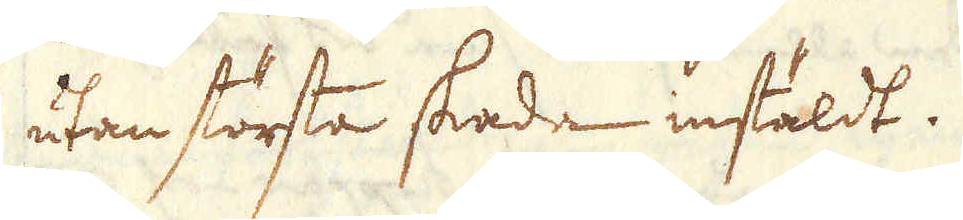utan största skada instäldt.
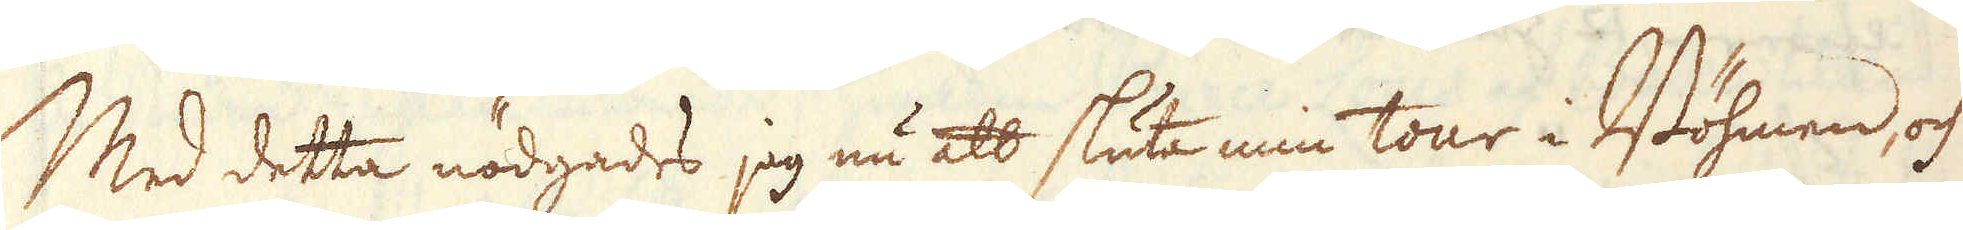Med detta nödgades jag nu att sluta min tour i Böhmen, och
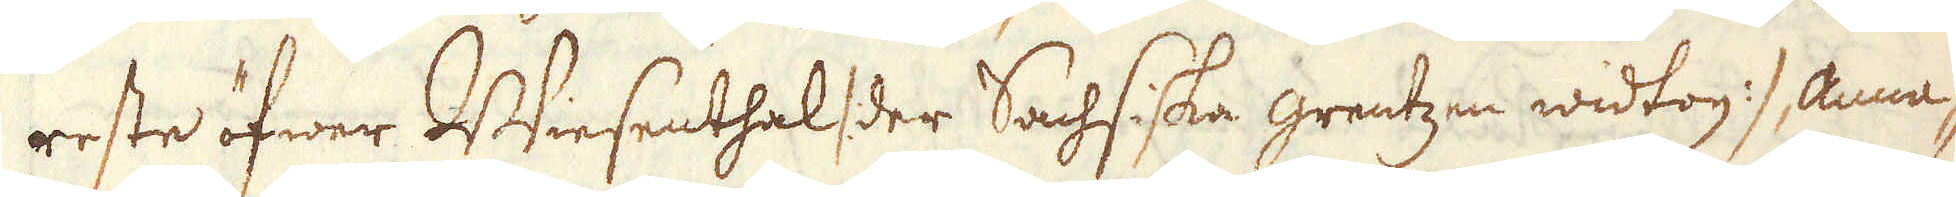reste öfwer Wiesenthal /: der Sachsiska grentzen widtog :/ Anna-
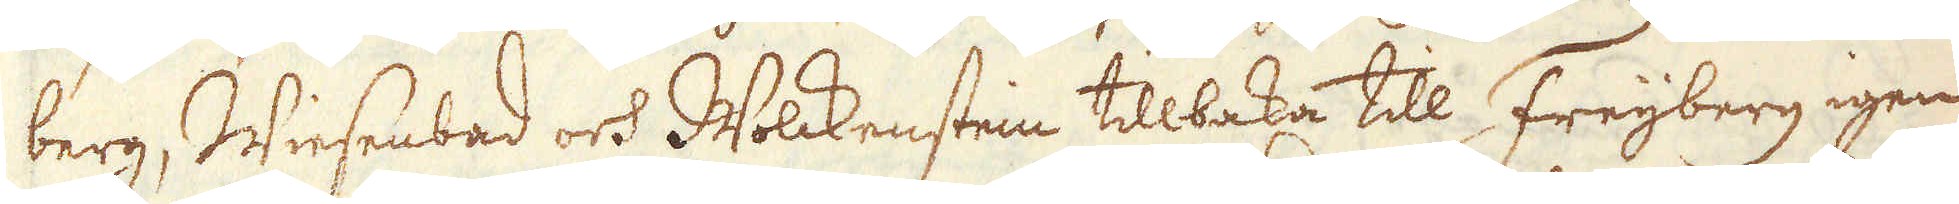berg, Wiesenbad och Wolckensten tillbaka till Freijberg igen,
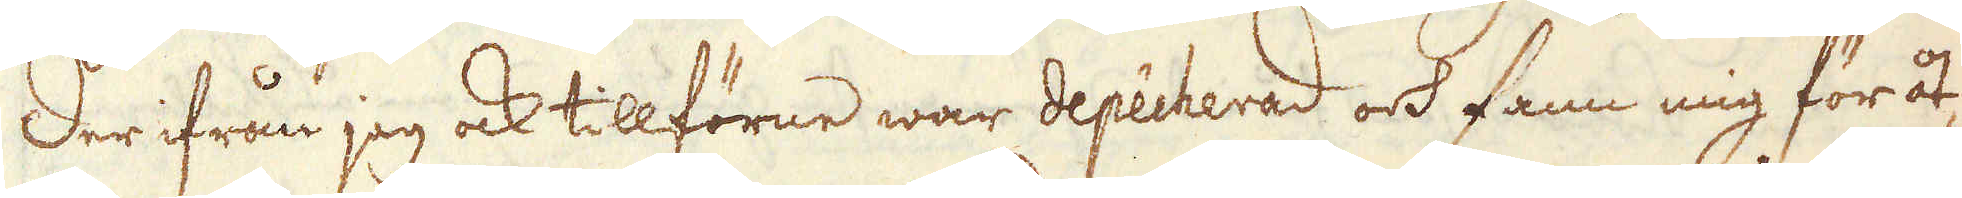der ifrån jag ock tillförne war depêcherad och fann mig för åt-
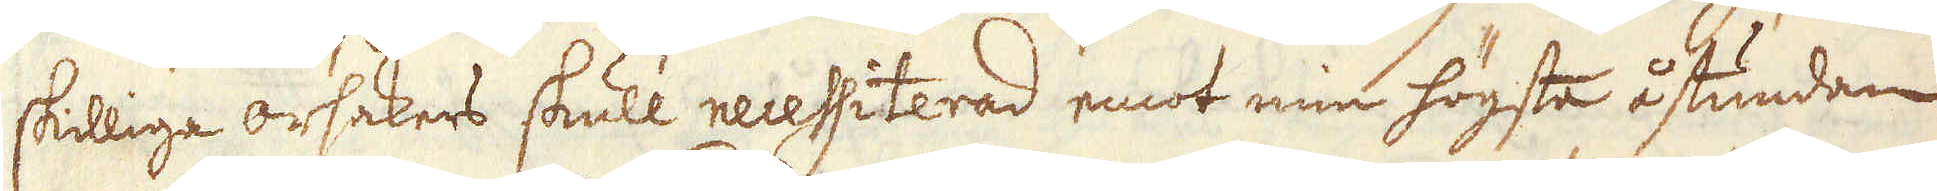skilliga orsakers skull necessiterad emot min högste åstundan
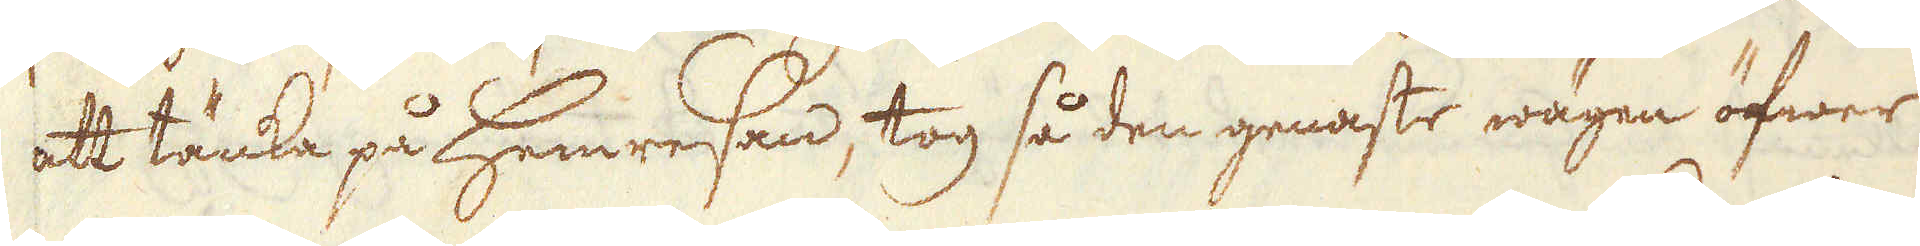att tänka på Hemresan, tog så den genaste wägen öfwer
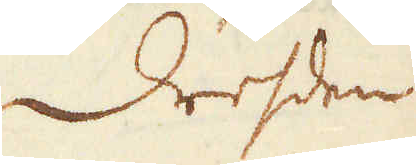Dresden
